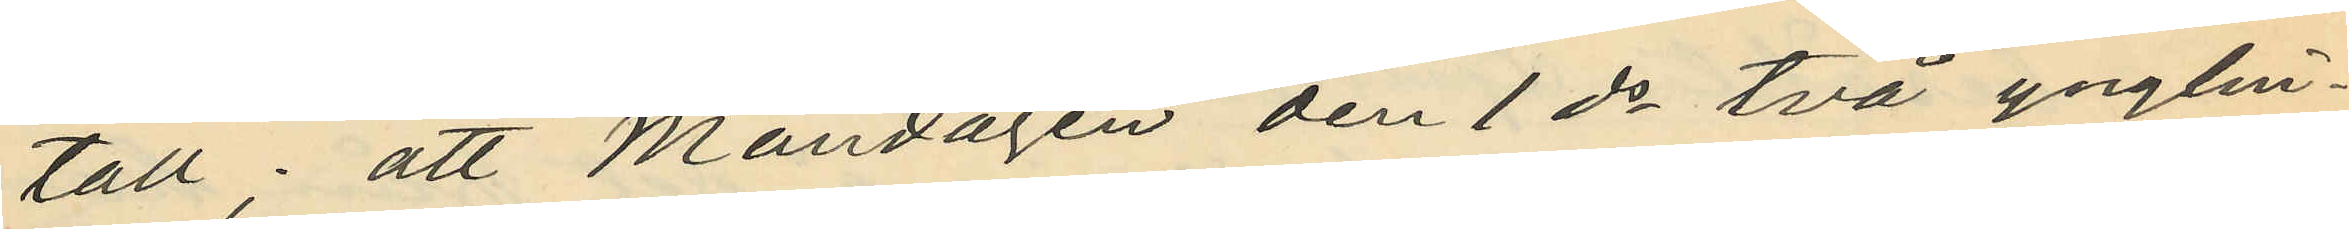tall; att Måndagen den 1 ds två ynglin¬
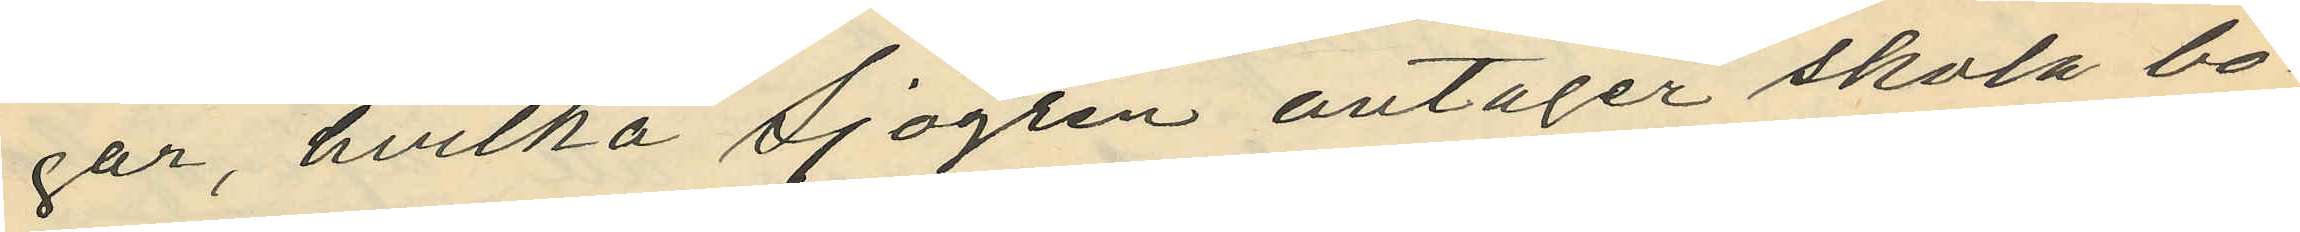gar, hvilka Sjögren antager skola bo
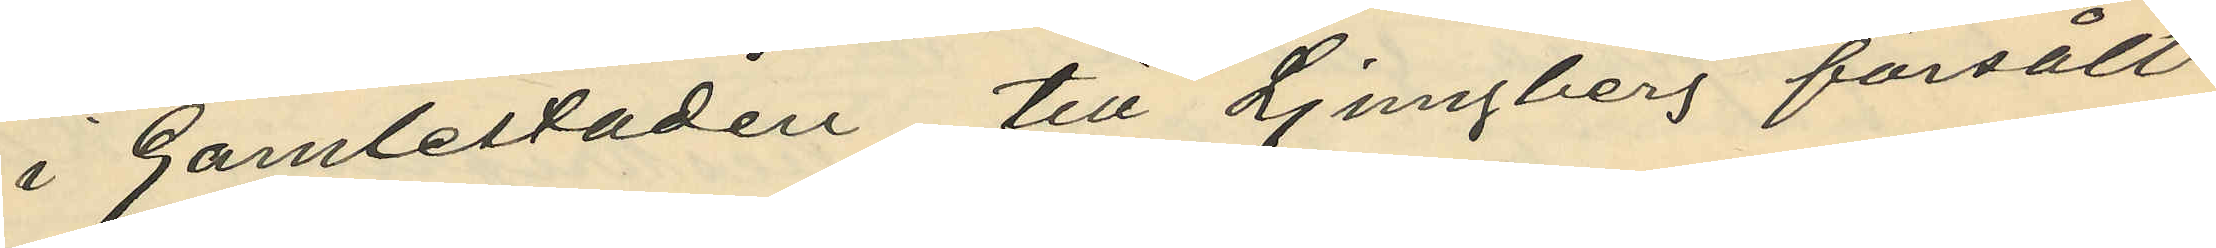i Gamlestaden till Ljungberg försålt
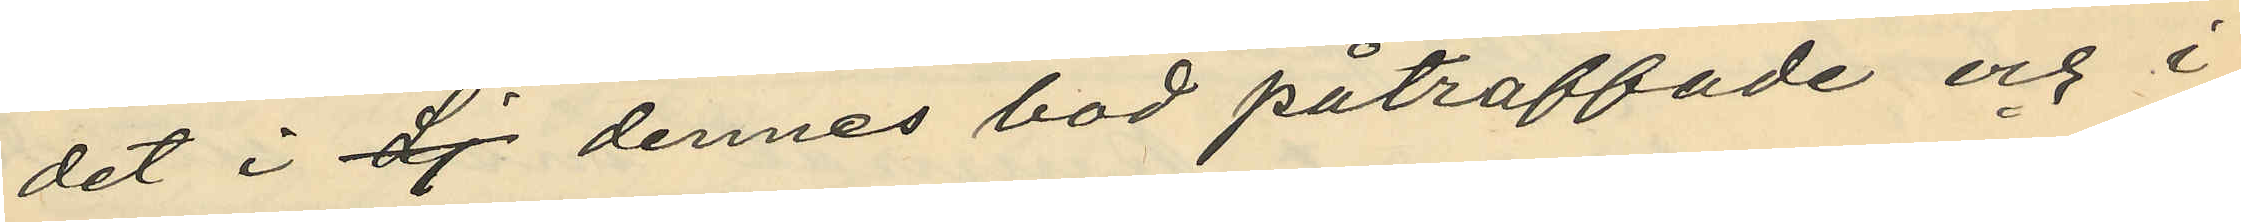det i Lj dennes bod påträffade och i
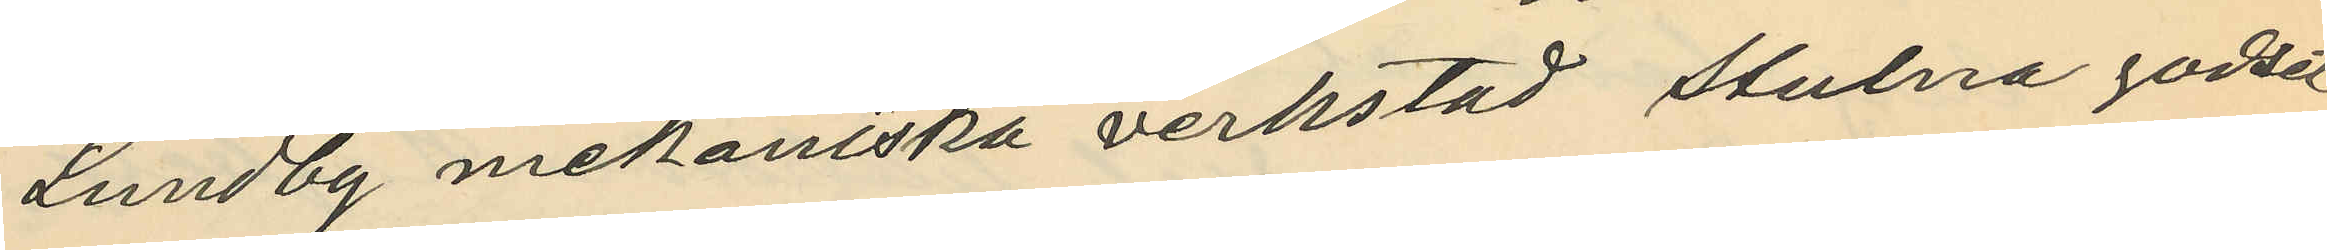Lundby mekaniska verkstad stulna godset
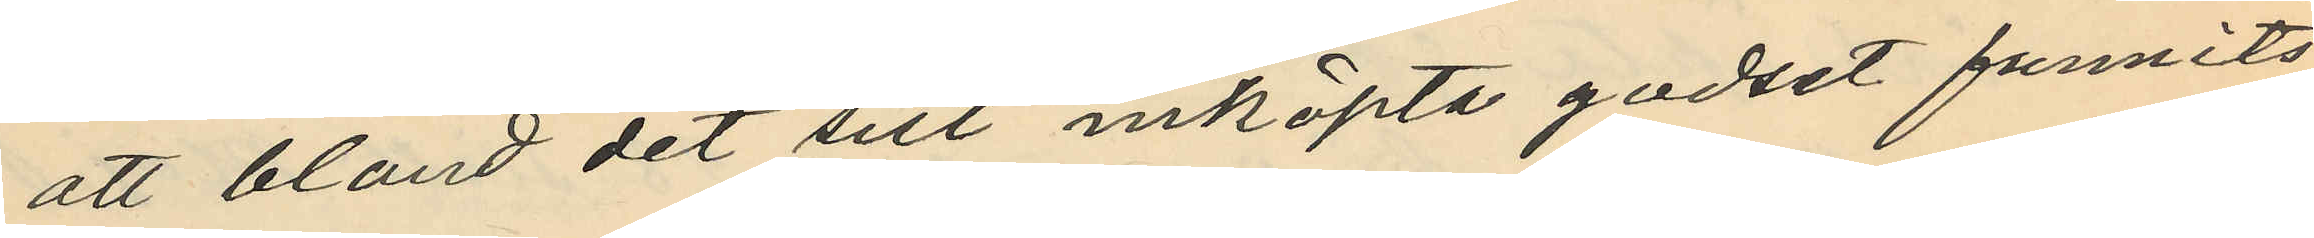att bland det sist inköpta godset funnits
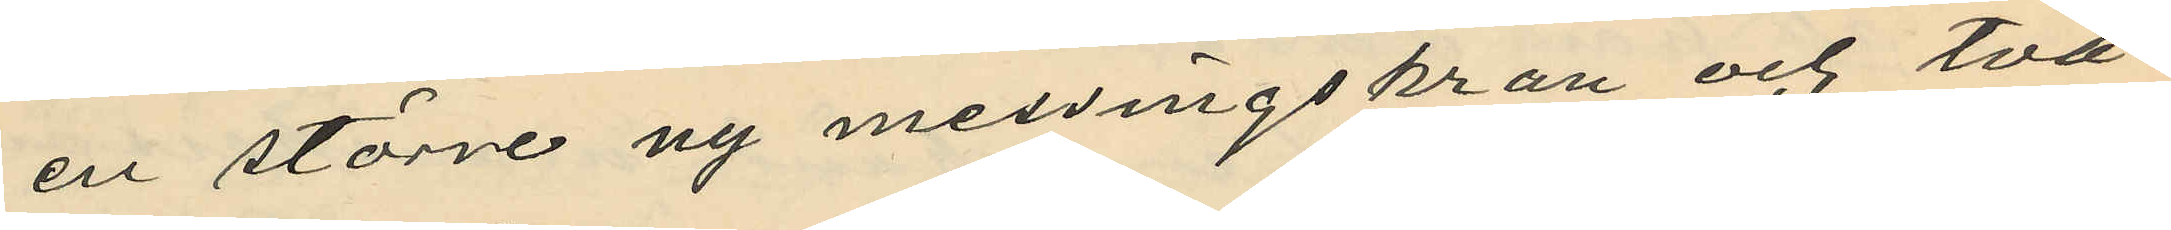en större ny messingskran och två
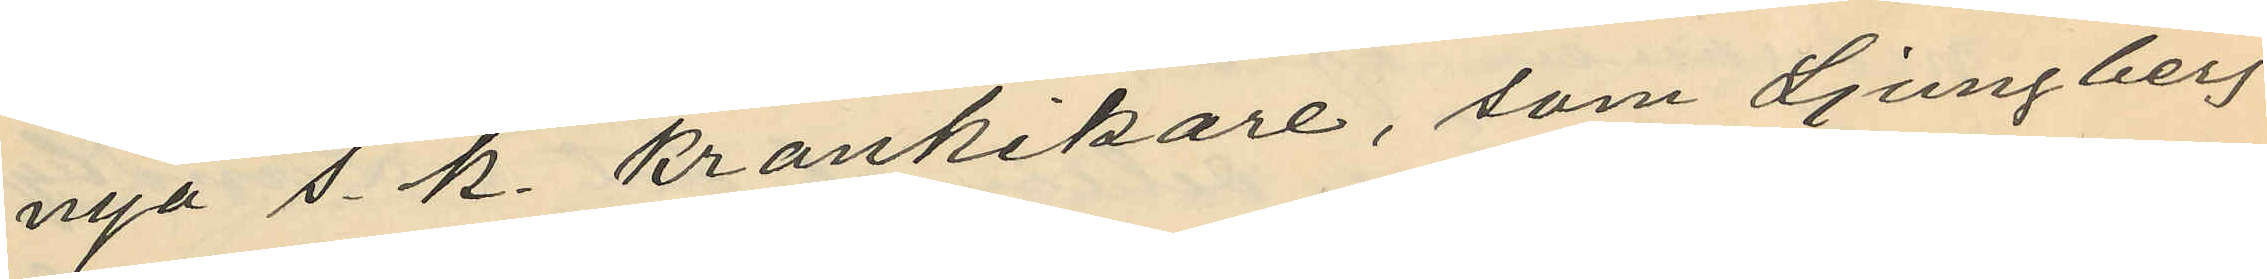nya s. k. krankikare, som Ljungberg
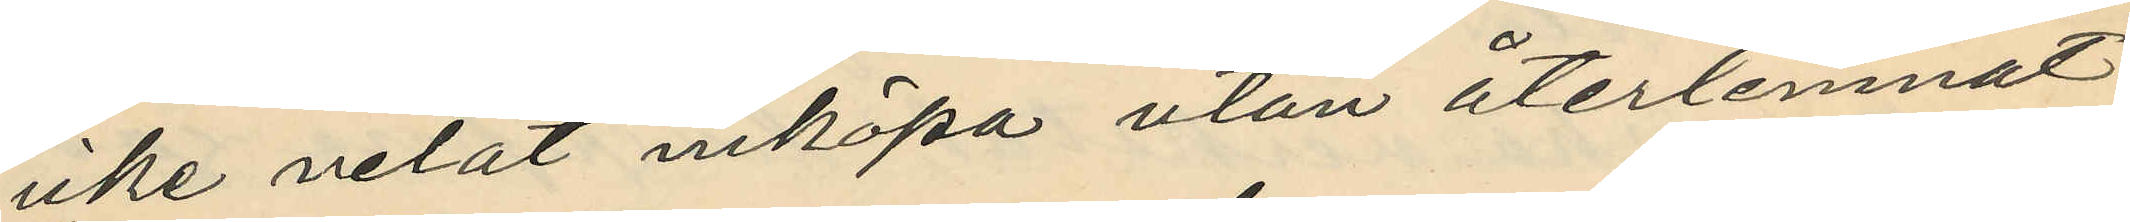icke velat inköpa utan återlemnat
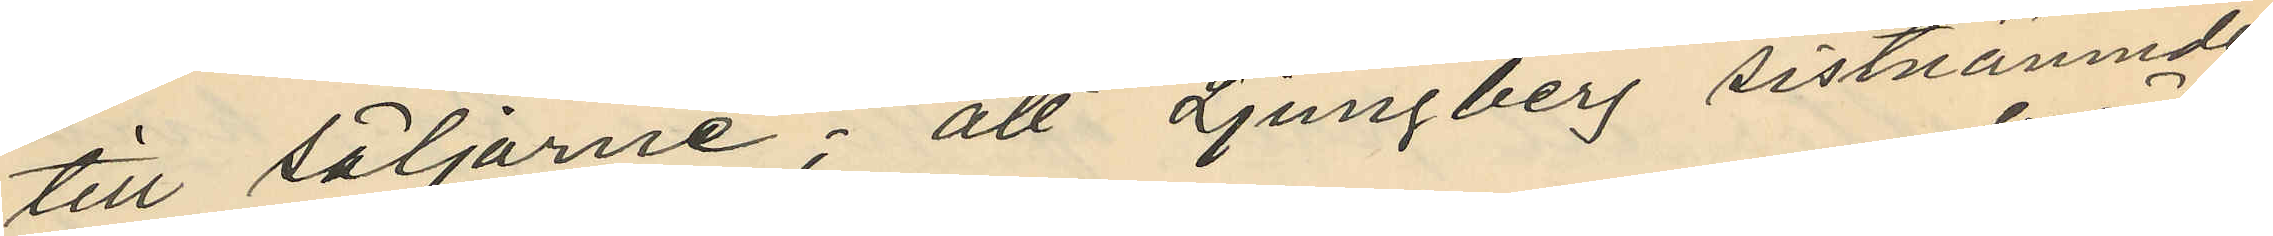till säljarne; att Ljungberg sistnämnde
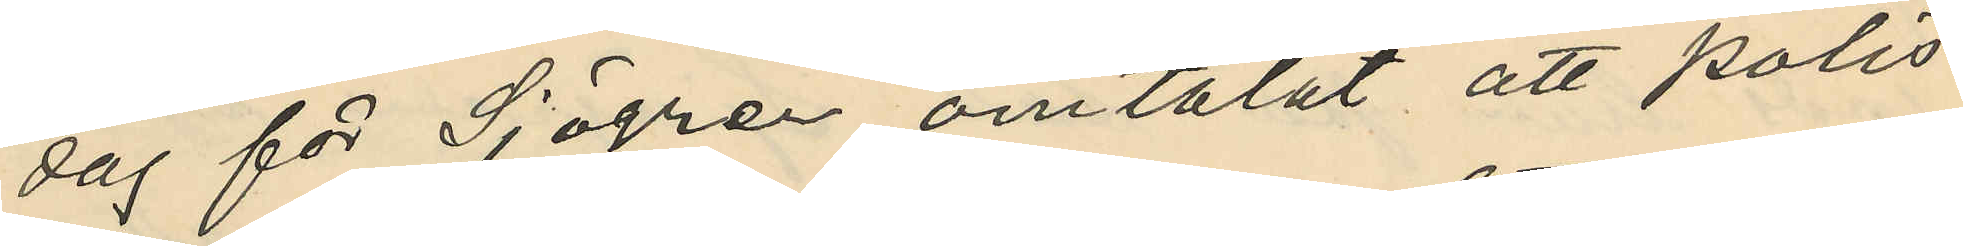dag för Sjögren omtalat att polis
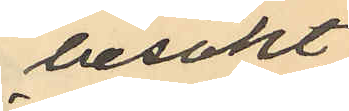besökt
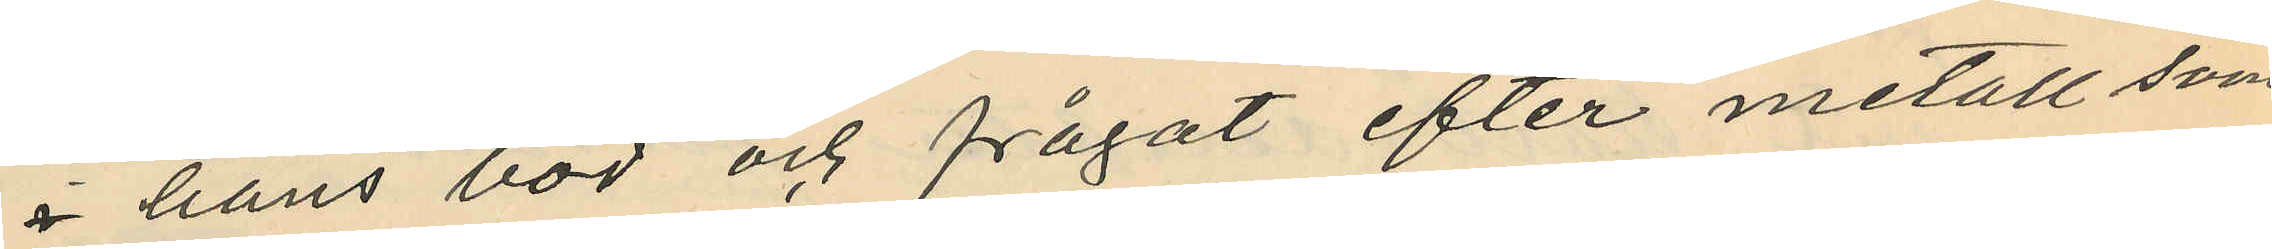i hans bod och frågat efter metall som
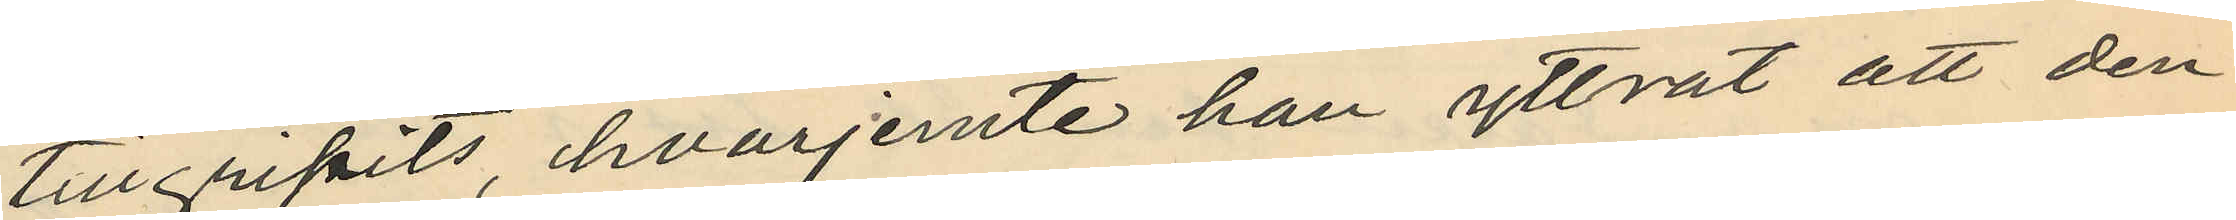tillgripits, hvarjemte han yttrat att den
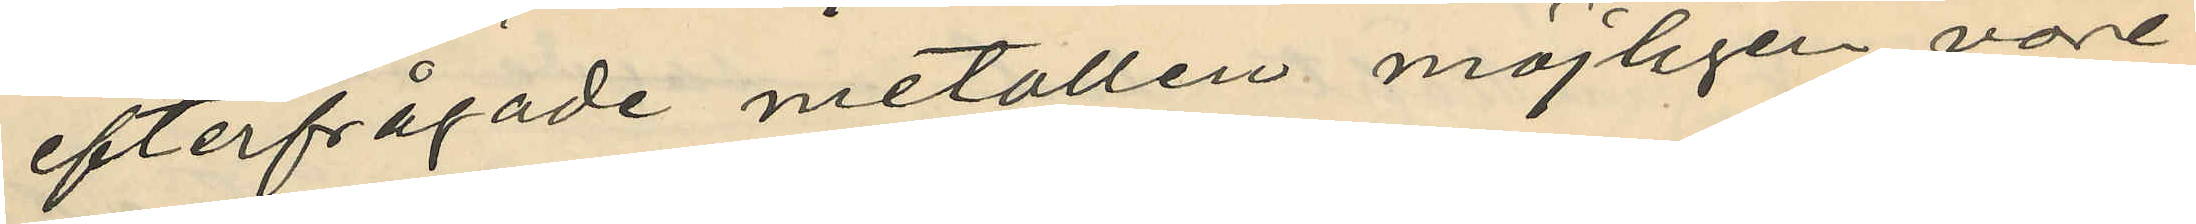efterfrågade metallen möjligen vore
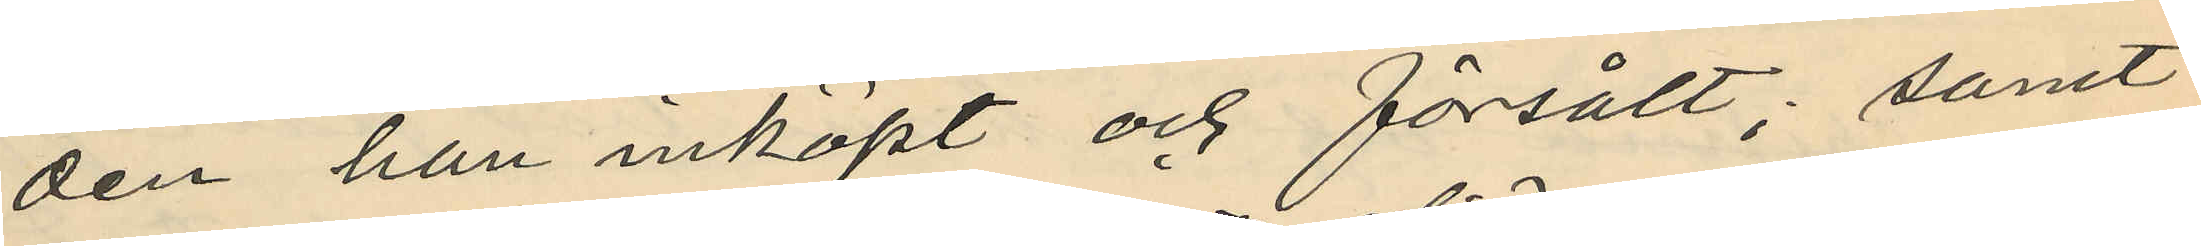den han inköpt och försålt; samt
